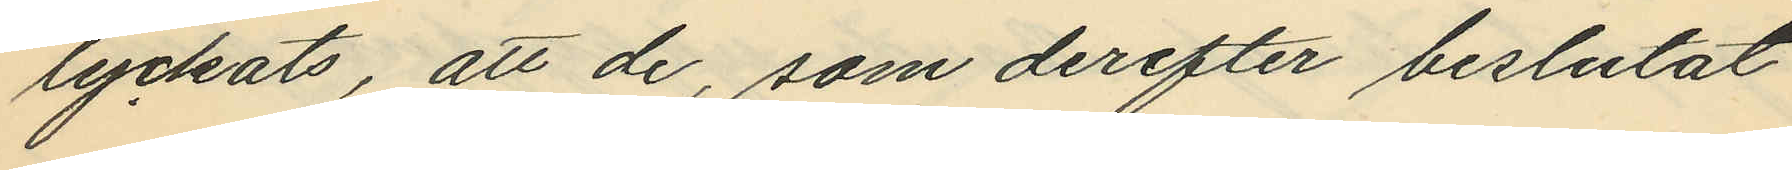lyckats, att de, som derefter beslutat
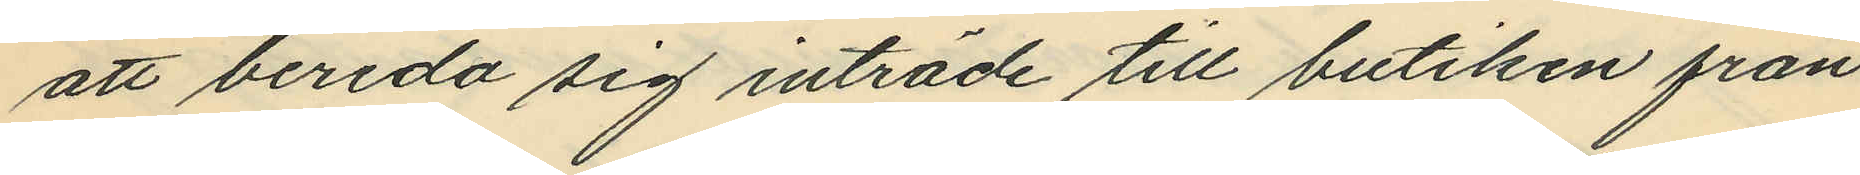att bereda sig inträde till butiken från
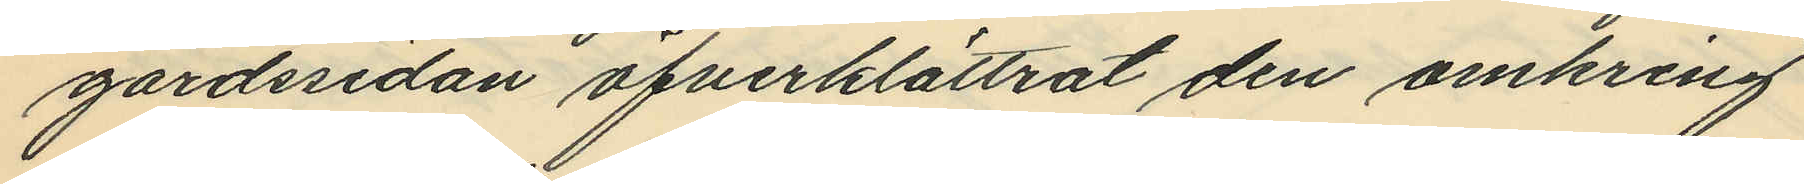gårdssidan öfverklättrat den omkring
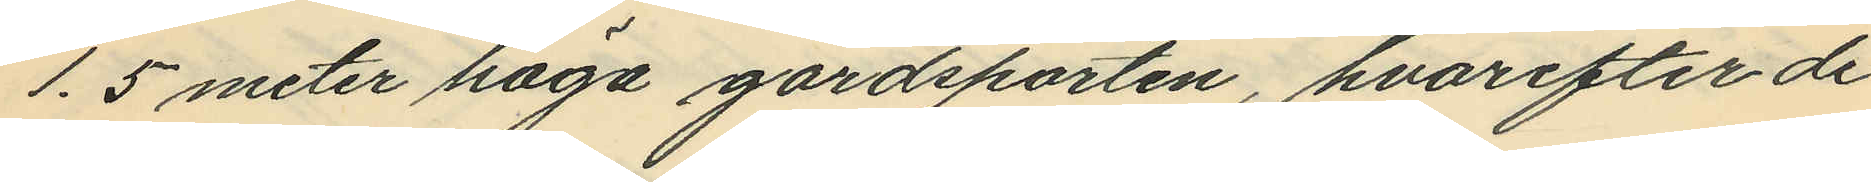1.5 meter höga gårdsporten, hvarefter de
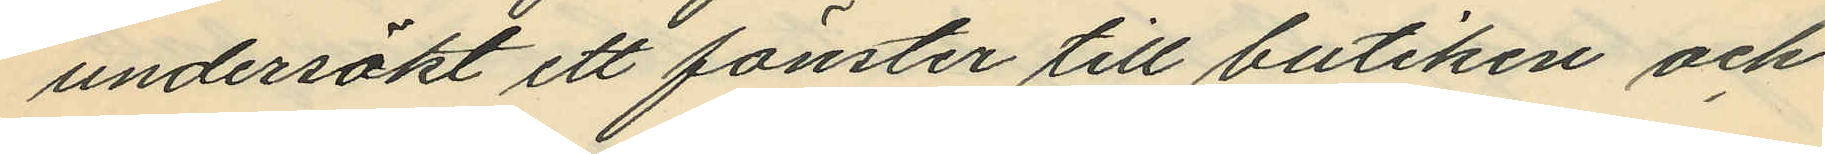undersökt ett fönster till butiken och
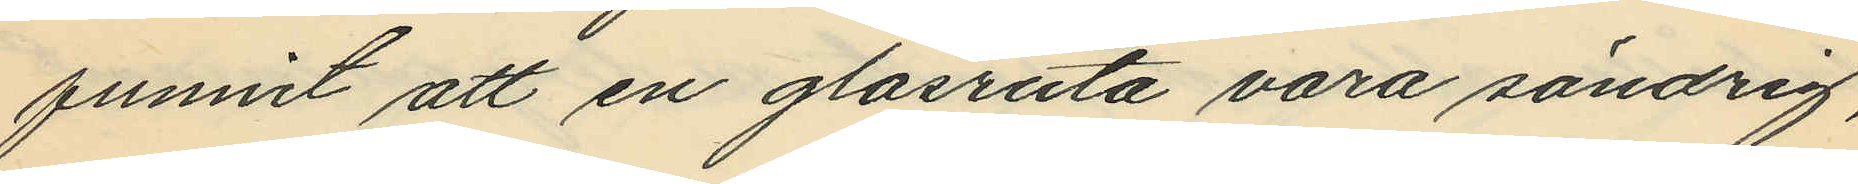funnit att en glasruta vara söndrig,
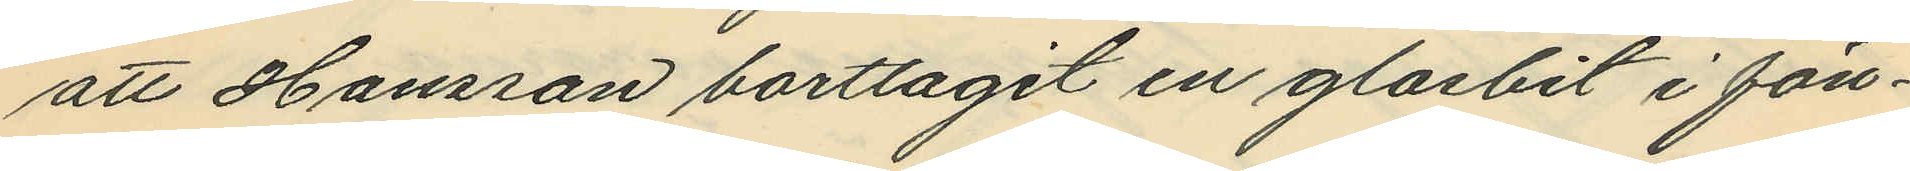att Hansson borttagit en glasbit i fön¬
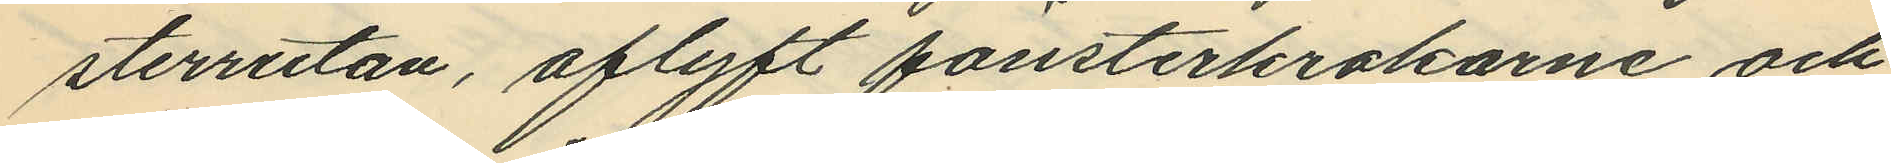sterrutan, aflyft fönsterkrokarne och
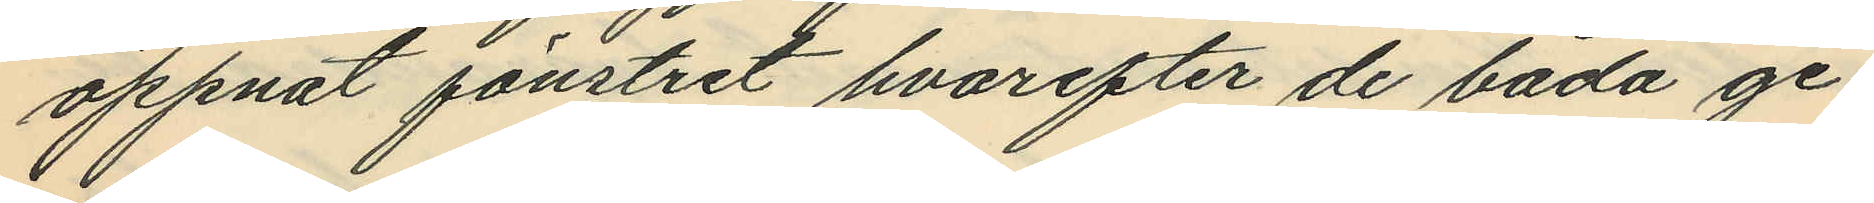öppnat fönstret hvarefter de båda ge¬
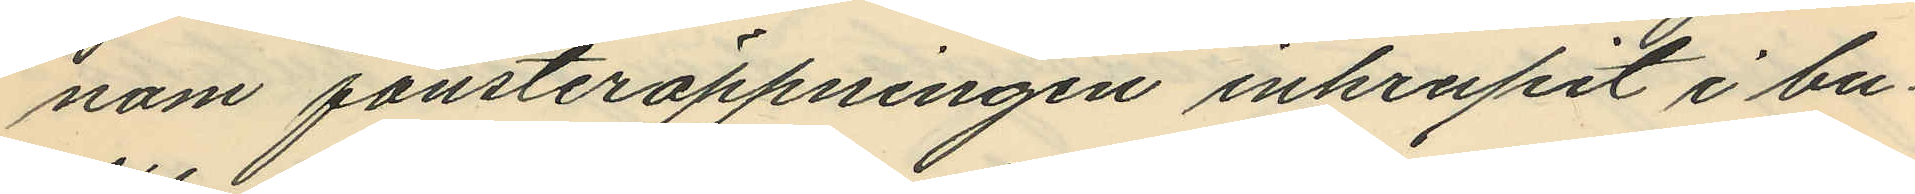nom fönsteröppningen inkrupit i bu¬
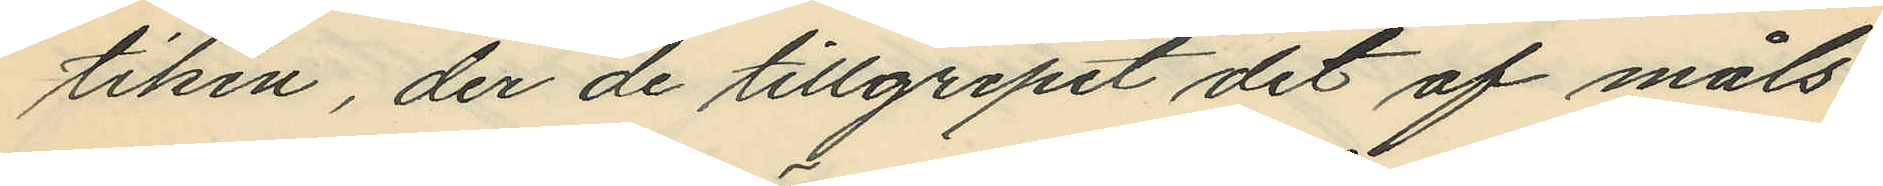tiken, der de tillgripit det af måls¬
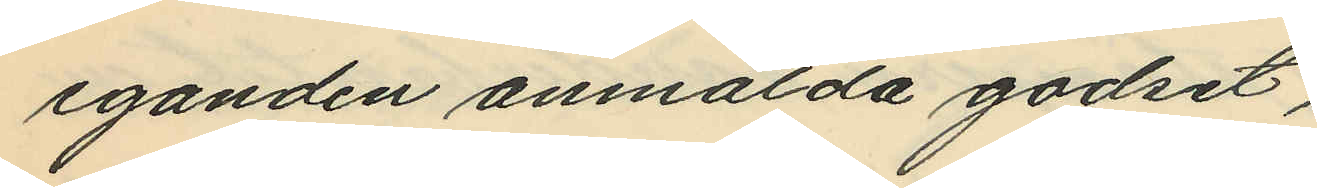eganden anmälda godset,
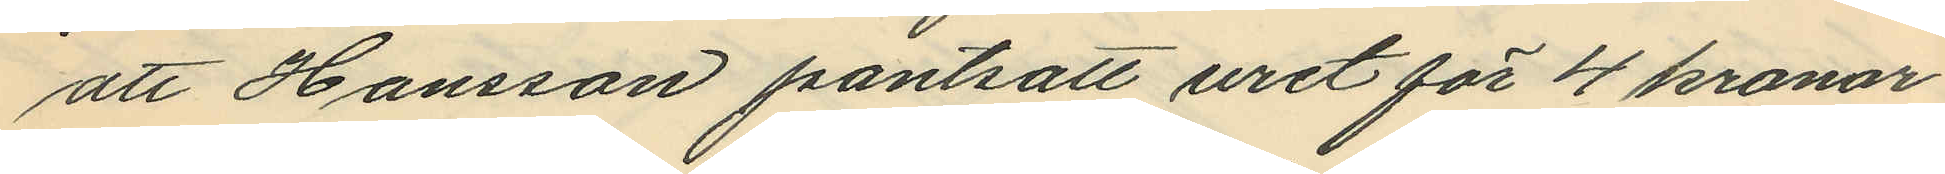att Hansson pantsatt uret för 4 kronor
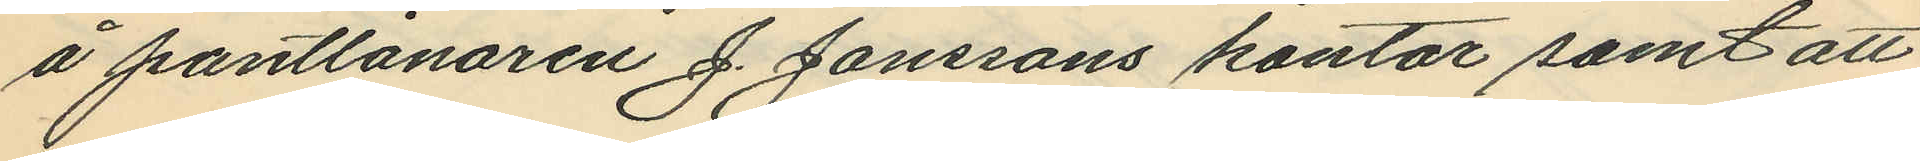å pantlånaren J. Janssons kontor samt att
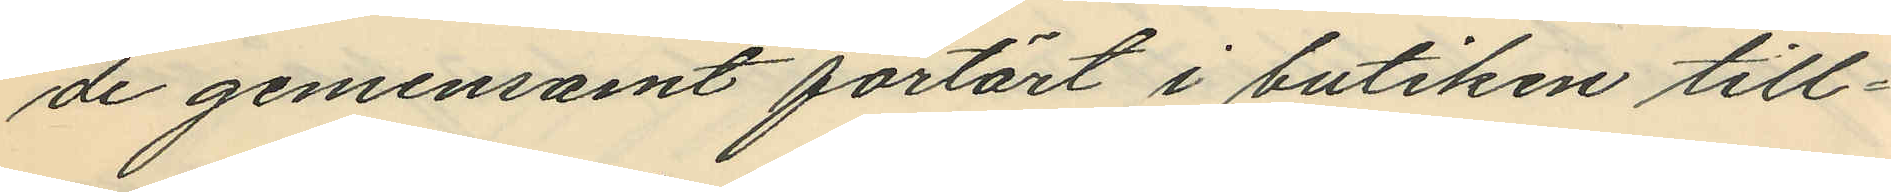de gemensamt förtärt i butiken till¬
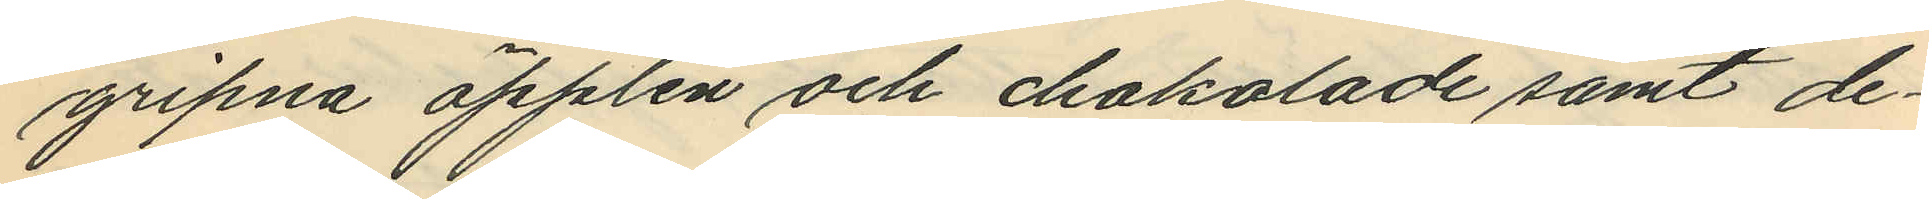gripna äpplen och chokolade samt de¬
